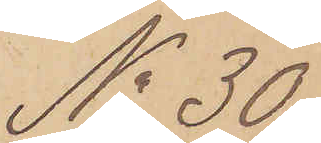No 30
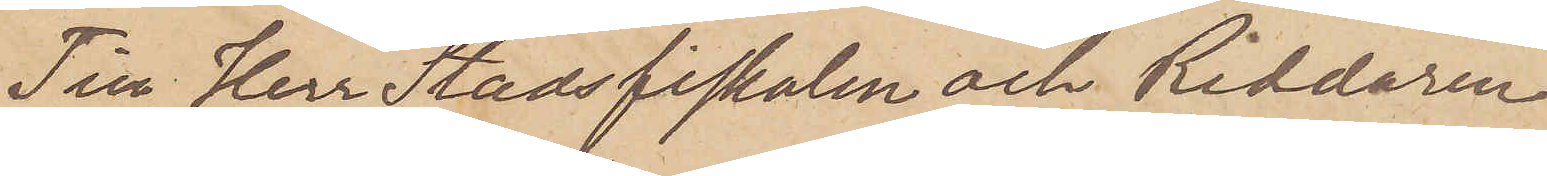Till Herr Stadsfiskalen och Riddaren
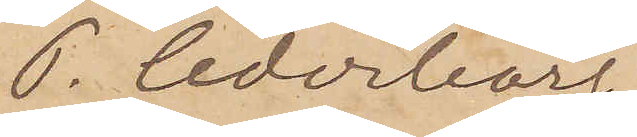P. Cederborg
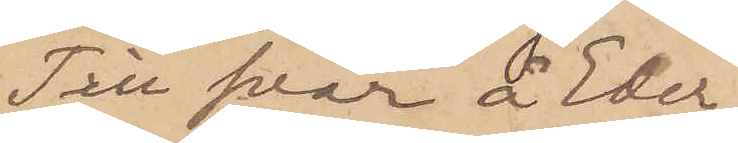Stockholm.
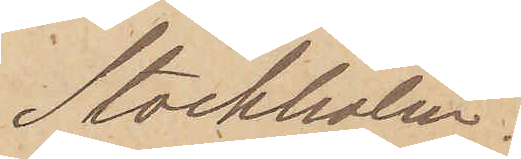Till svar å Eder
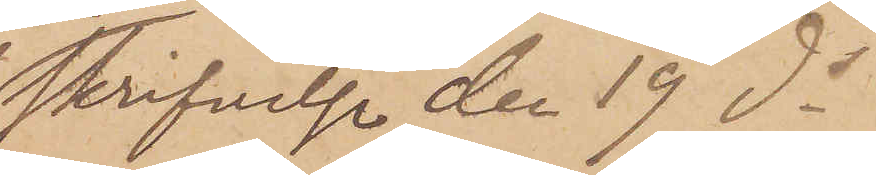skrifvelse den 19 ds
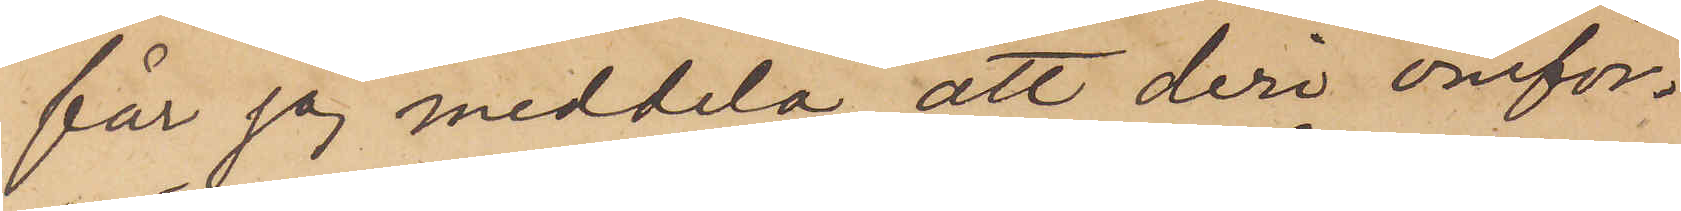får jag meddela, att deri omför¬
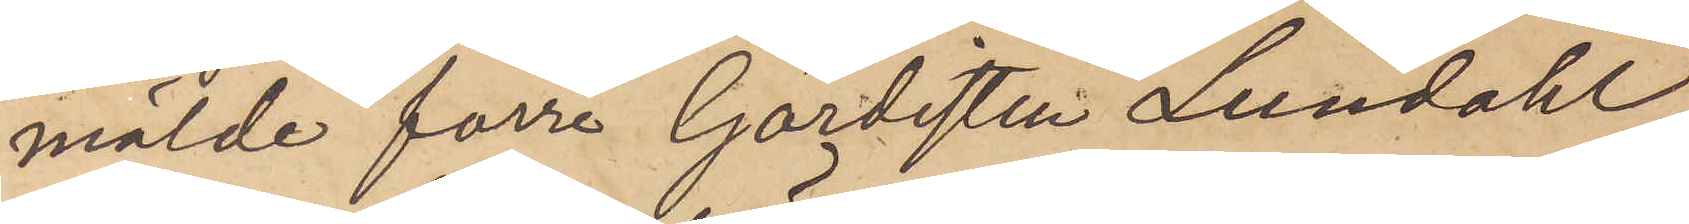mälde förre Gardisten Lundahl
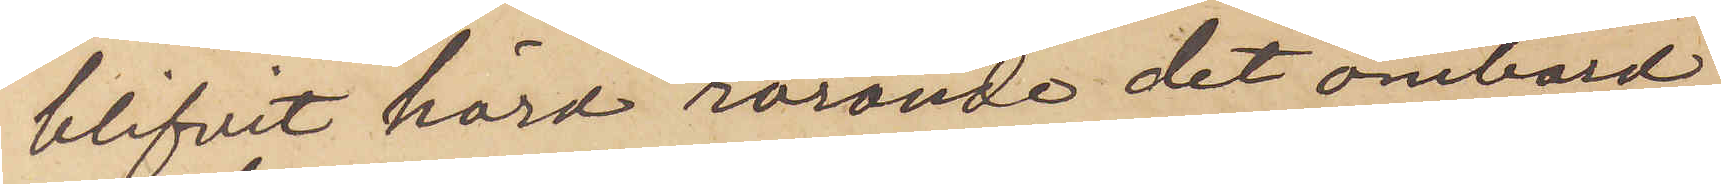blifvit hörd rörande det ombord
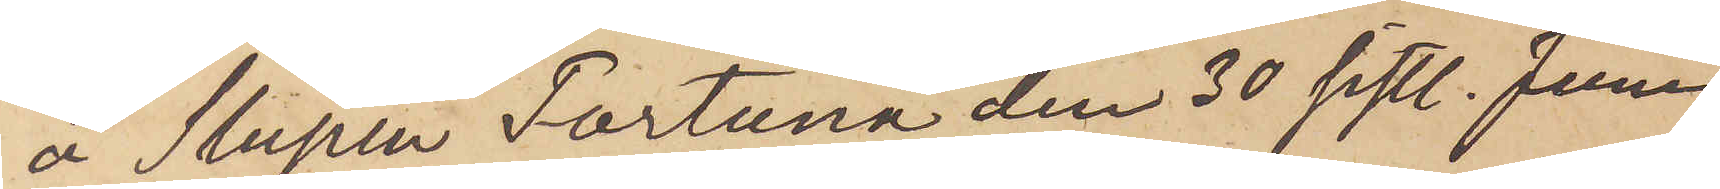å Slupen Fortuna den 30 sistl. Juni
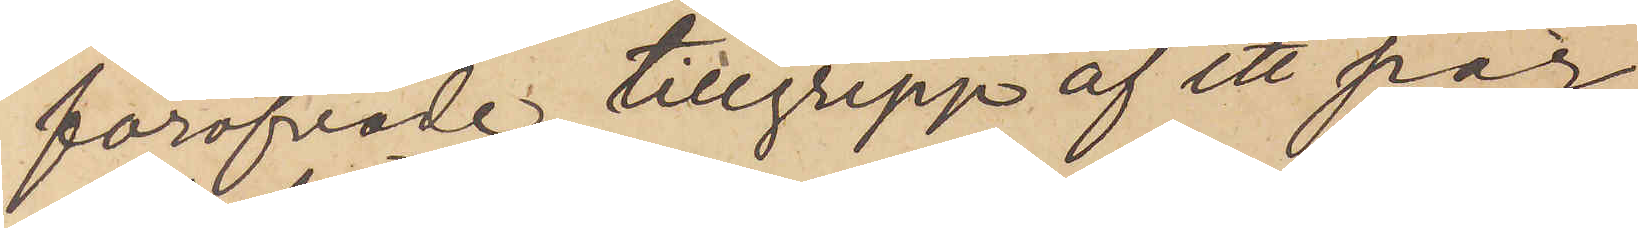föröfvade tillgrepp af ett par
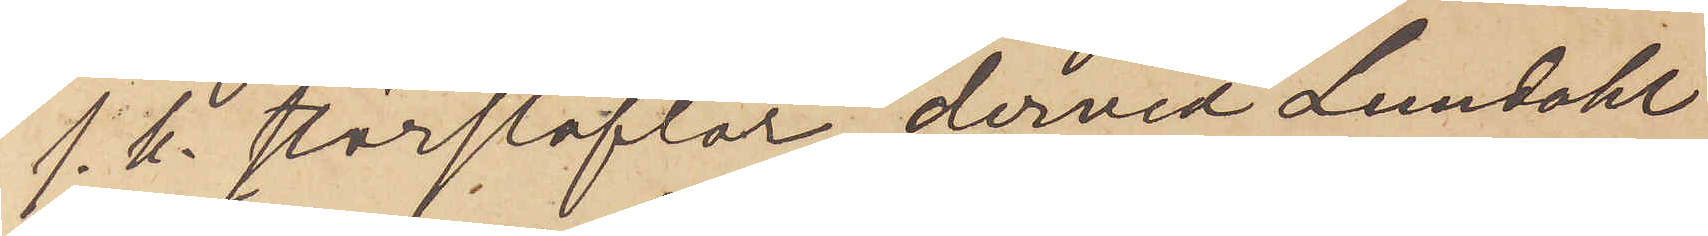s. k. storstöflar, dervid Lundahl
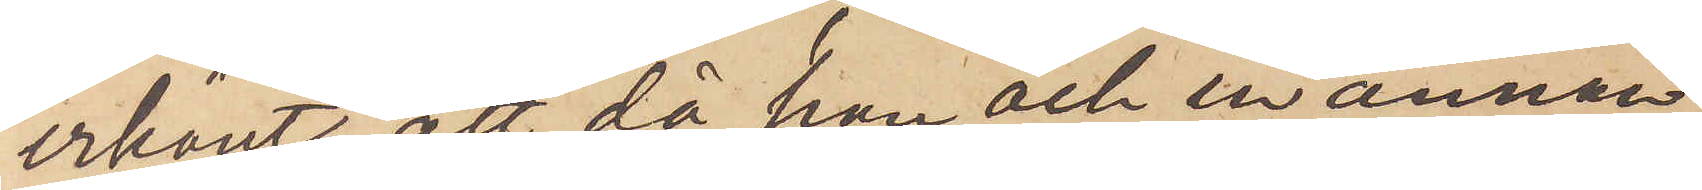erkänt, att då han och en annan
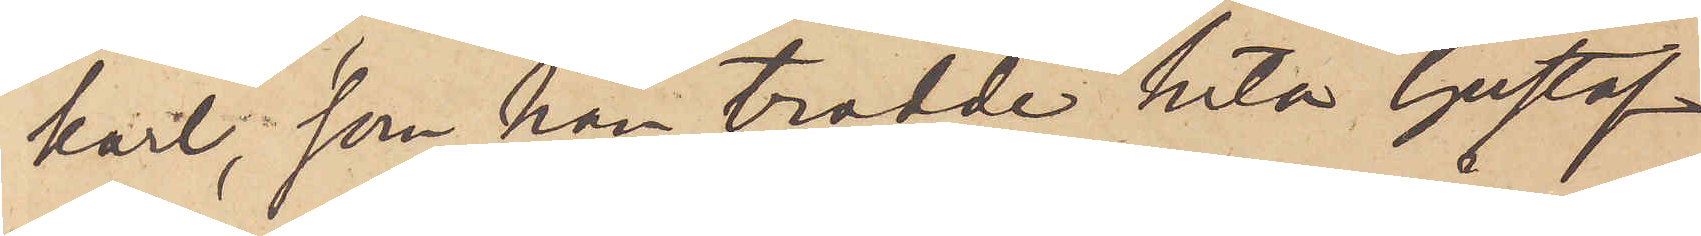karl, som han trodde heta Gustaf
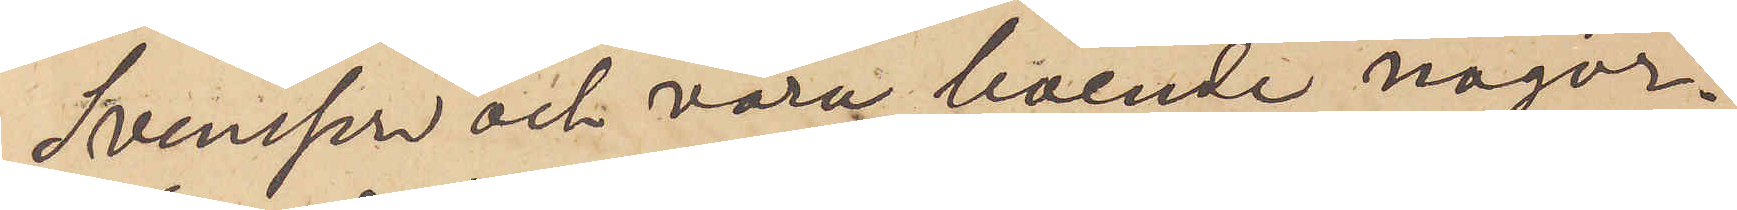Svensson och vara boende någon¬
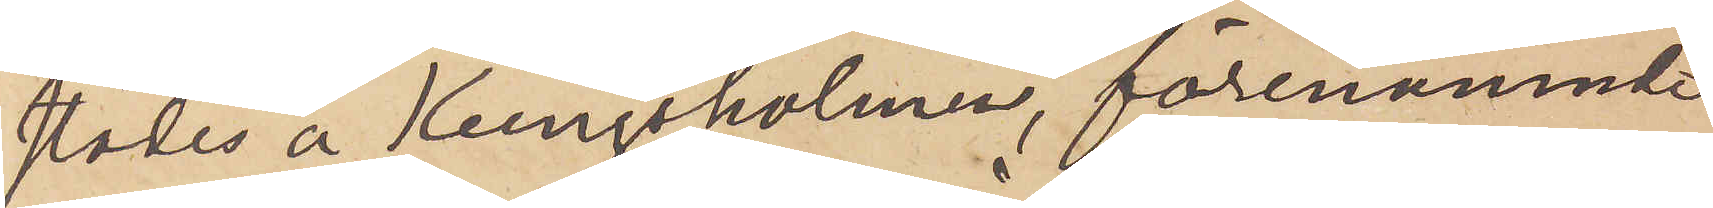städes å Kungsholmen, förenämnde
